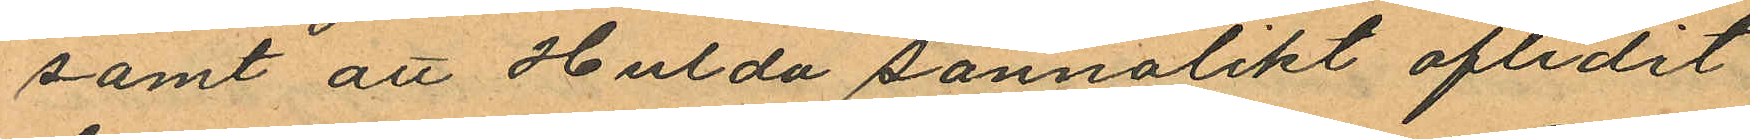samt att Hulda sannolikt aflidit
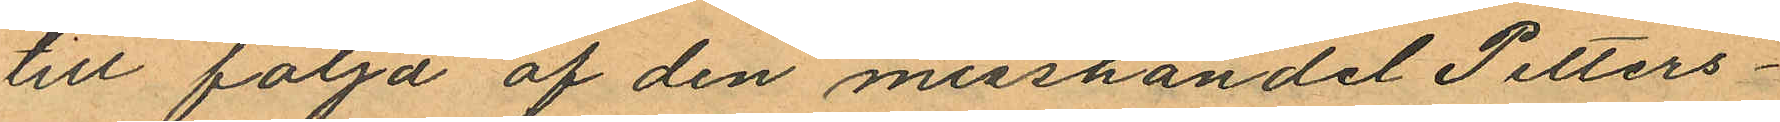till följd af den misshandel Petters¬
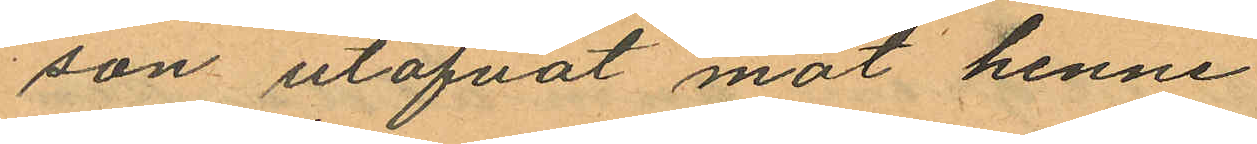son utöfvat mot henne.
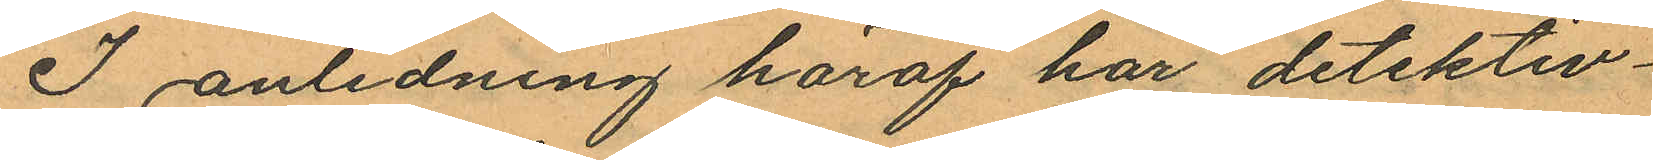I anledning häraf har detektiv¬
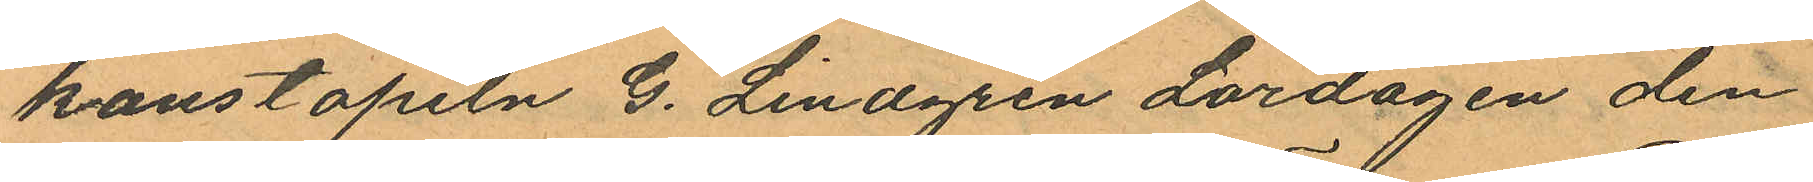konstapeln G. Lindgren Lördagen den
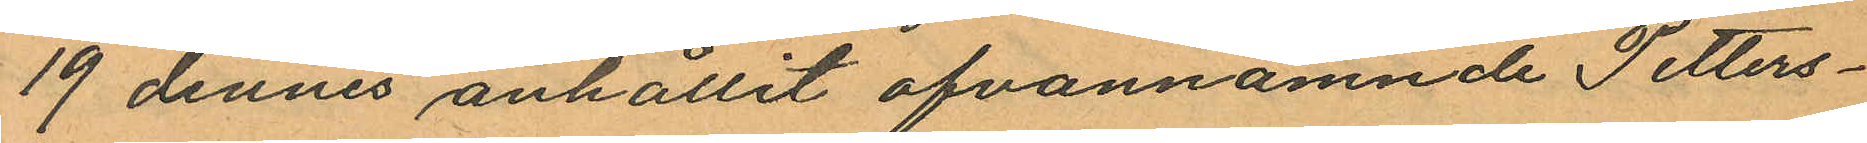19 dennes anhållit ofvannämnde Petters¬
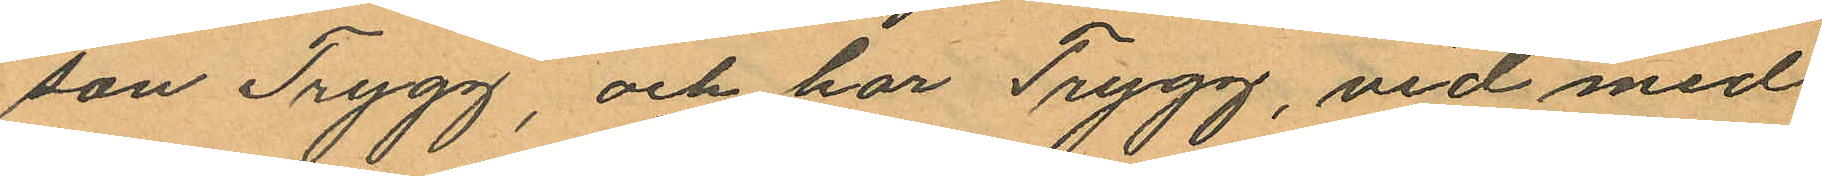son Trygg, och har Trygg, vid med
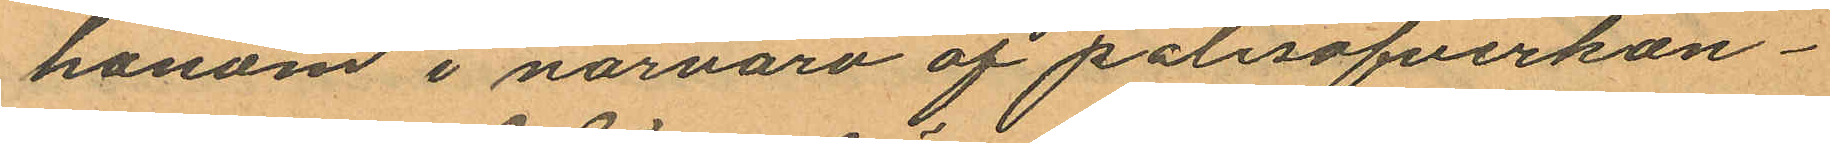honom i närvaro af polisöfverkon¬
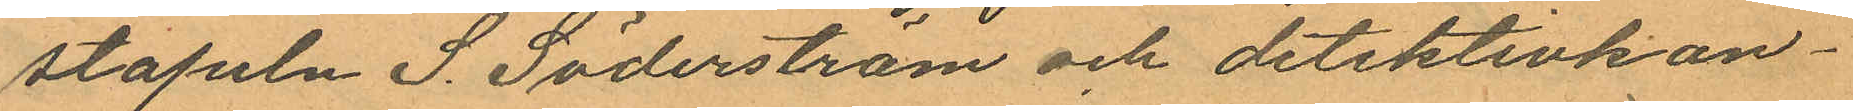stapeln S. Söderström och detektivkon¬
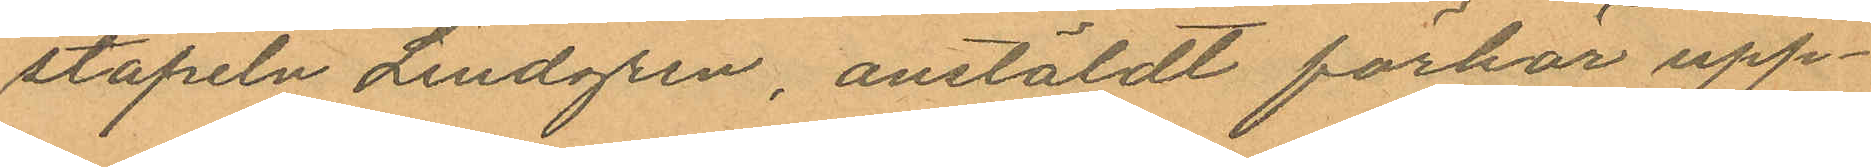stapeln Lindgren, anstäldt förhör upp¬
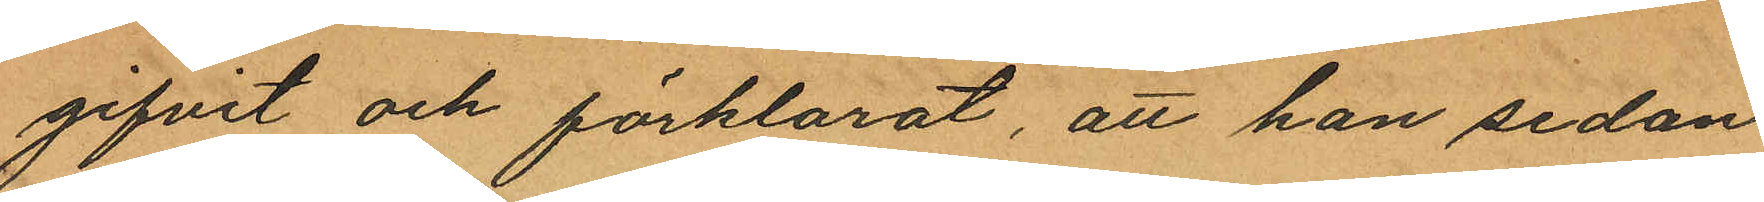gifvit och förklarat, att han sedan
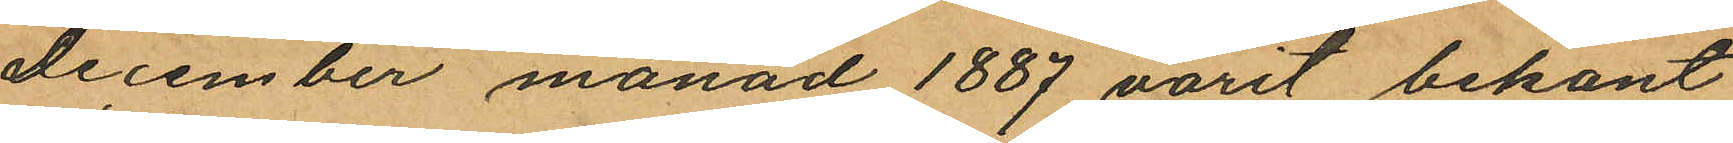december månad 1887 varit bekant
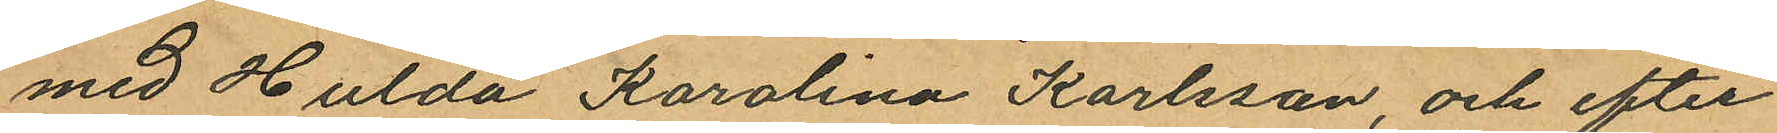med Hulda Karolina Karlsson, och efter
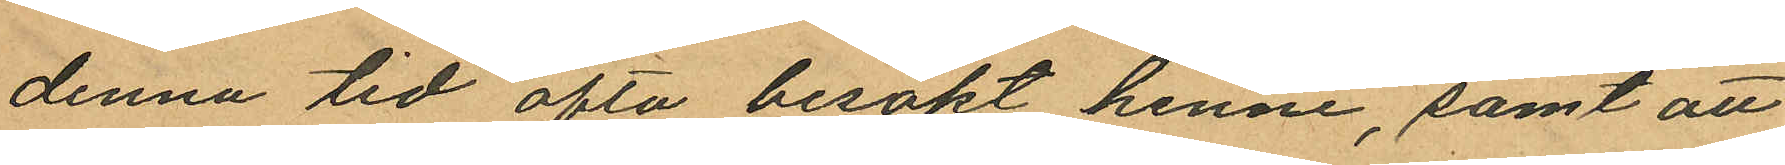denna tid ofta besökt henne, samt att
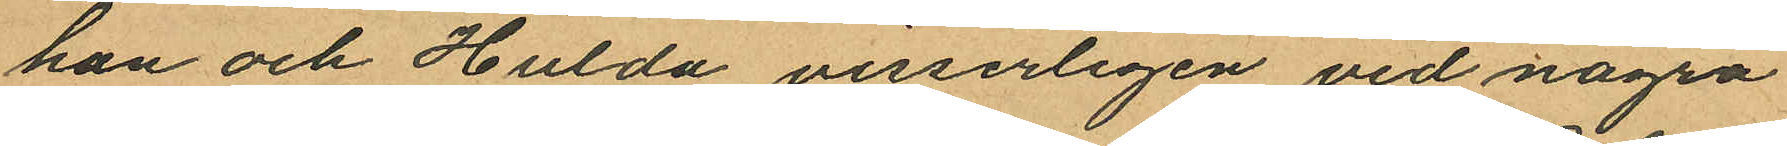han och Hulda visserligen vid några
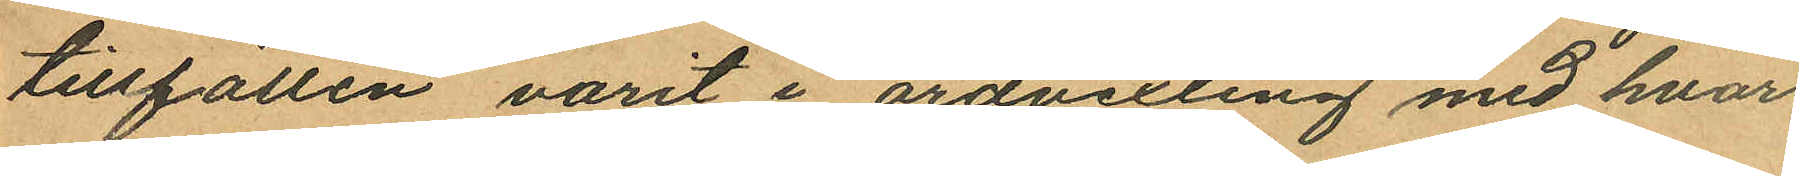tillfällen varit i ordvexling med hvar
